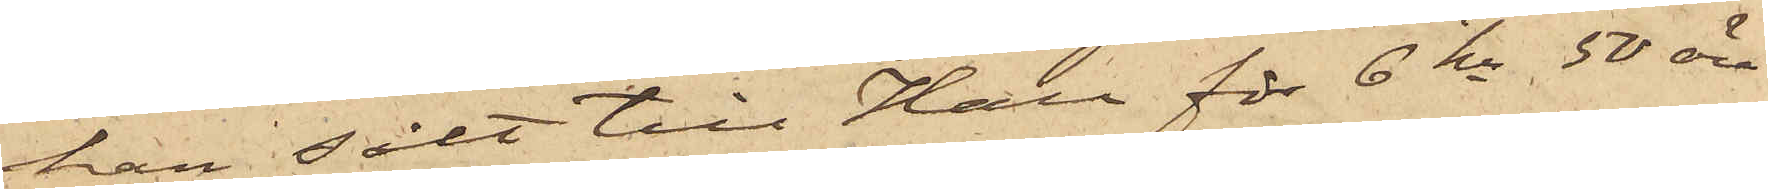han sålt till Hall för 6 kr 50 öre
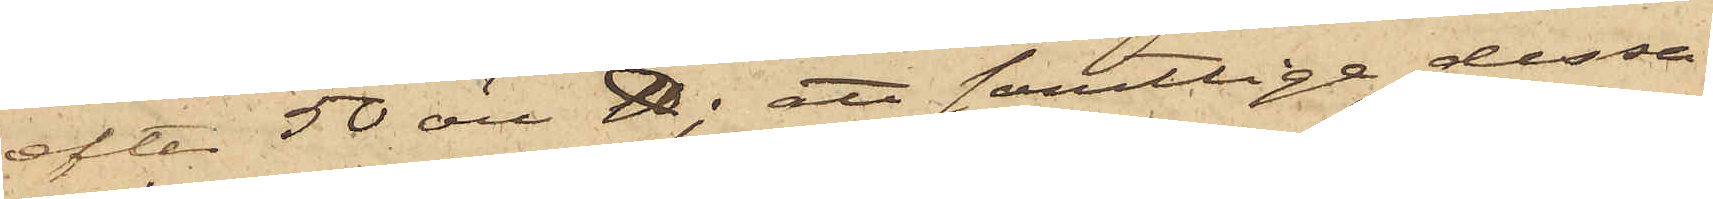efter 50 öre ℔; att samtlige dessa
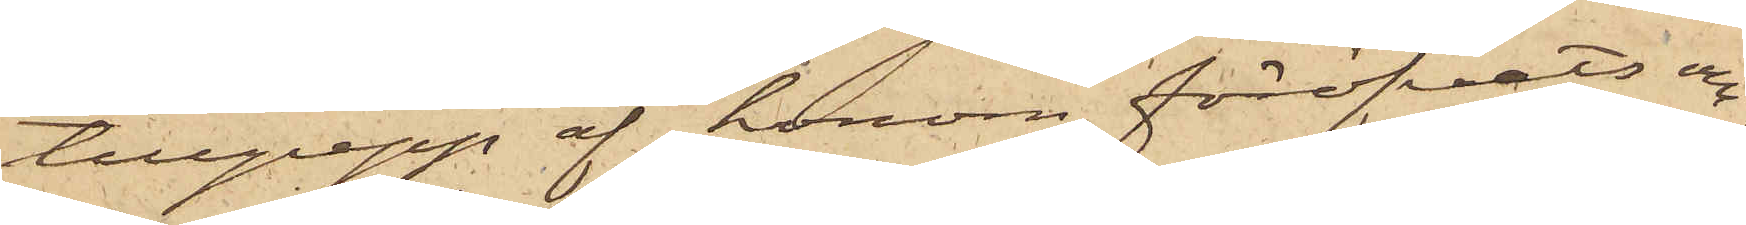tillgrepp af honom föröfvats om¬
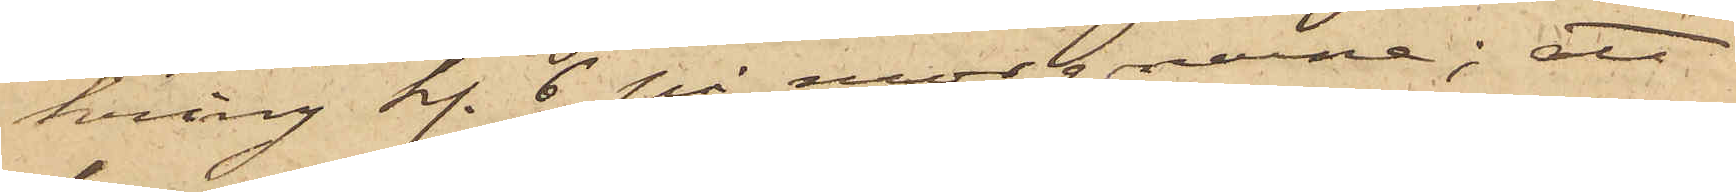kring kl. 6 på morgnarne; att
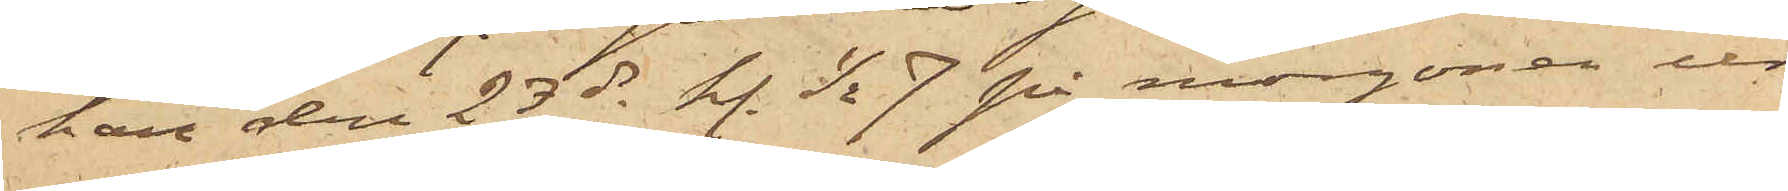han den 23 ds kl. ½ 7 på morgonen ur
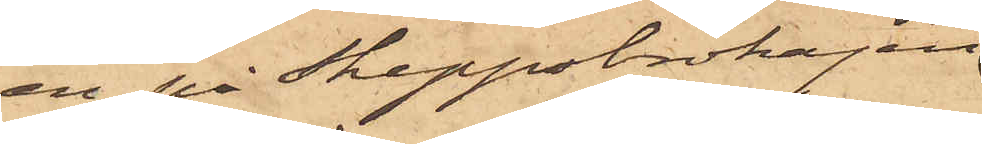en på Skeppsbrokajen
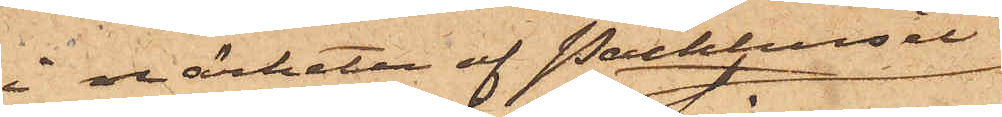i närheten af Packhuset
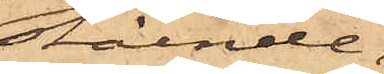stående,
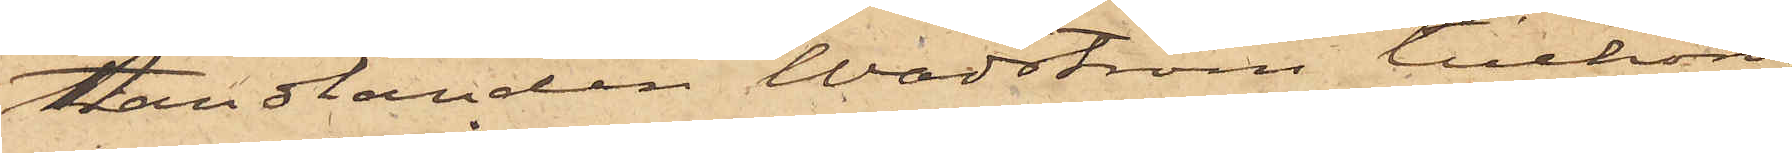handlanden Wadström tillhörig
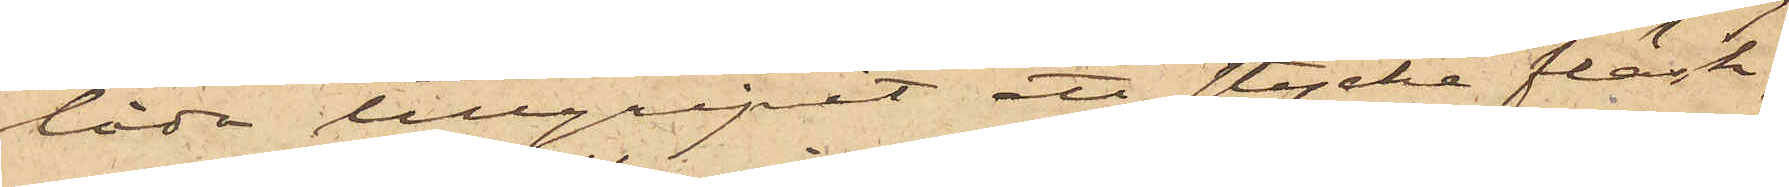låda tillgripit ett stycke fläsk,
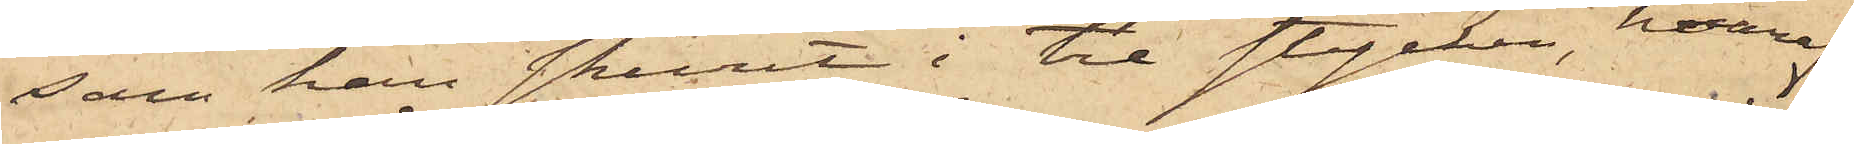som han skurit i tre stycken, hvaraf
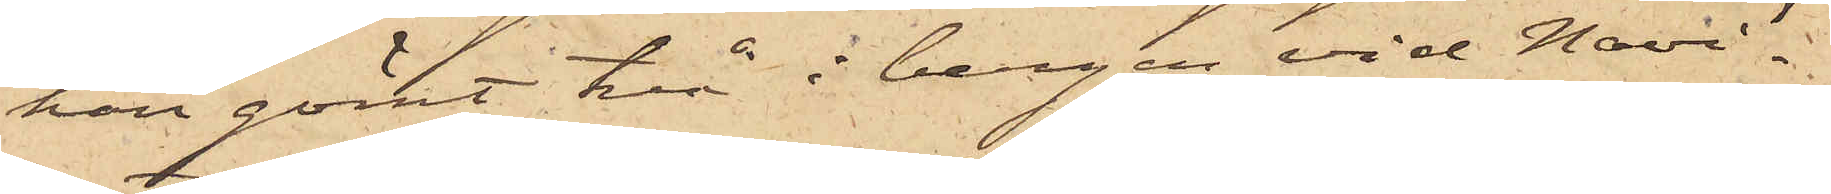han gömt två i bergen vid Navi¬
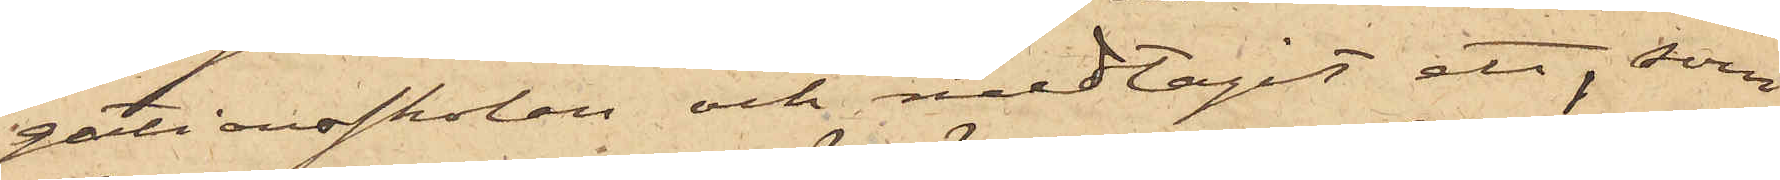gationsskolan och medtagit ett, som
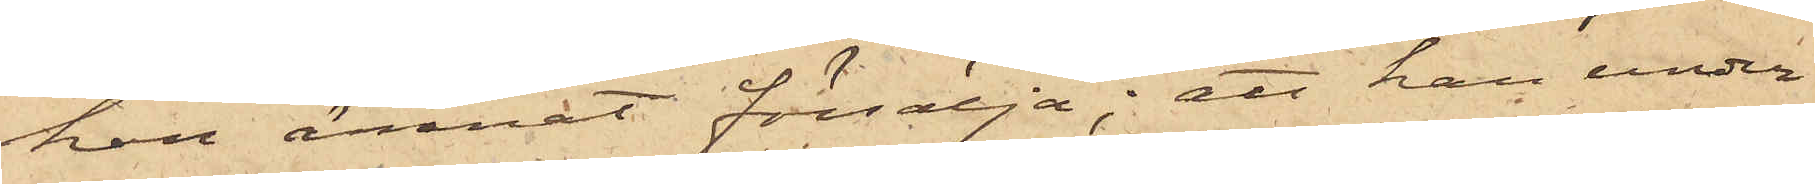han ämnat försälja; att han under
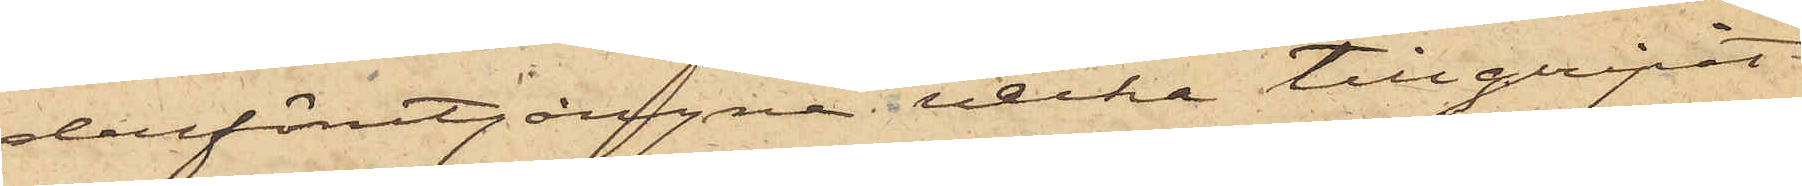derförutgångne vecka tillgripit
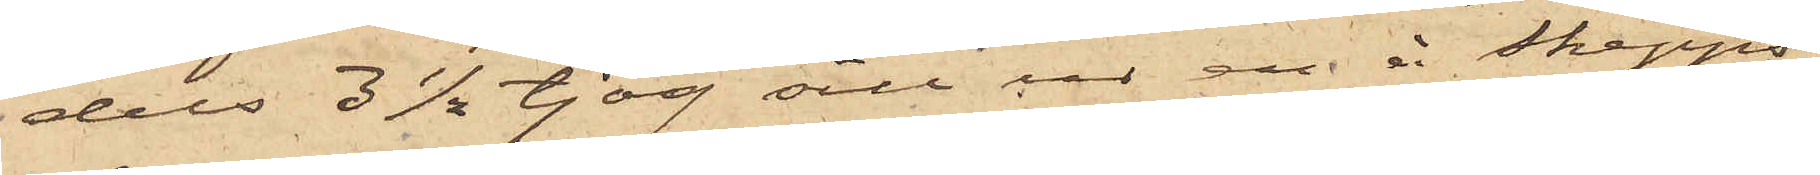dels 3½ tjog sill ur en å Skepps¬
